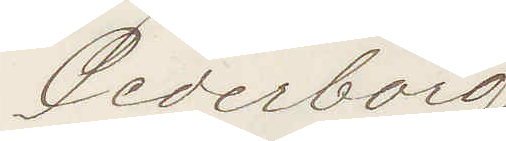Cederborg
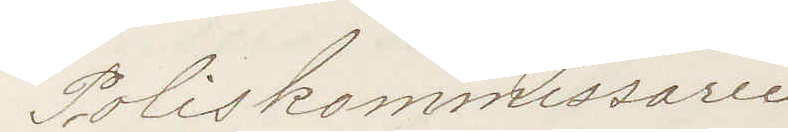Poliskommissarie
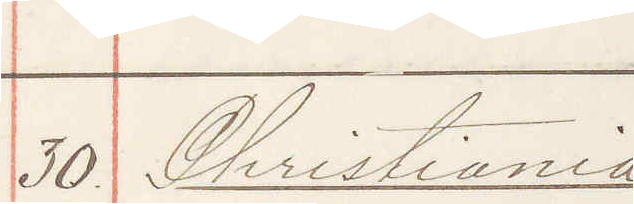30 Christiania
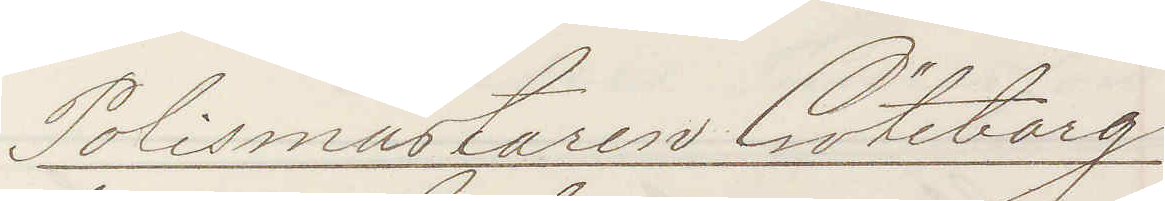Polismästaren Göteborg
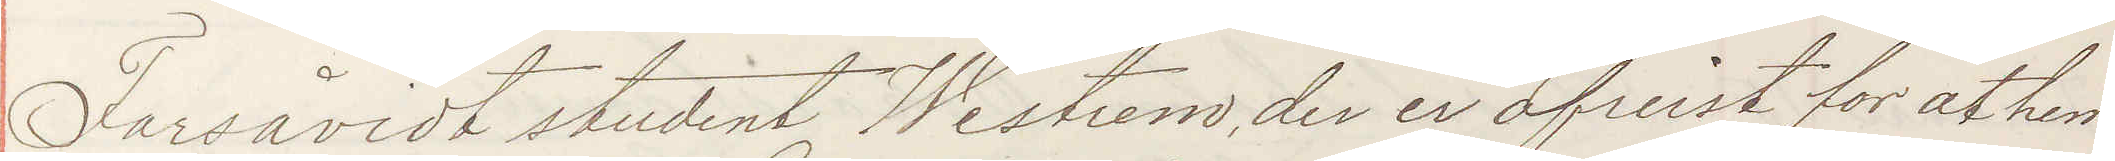Forsåvidt student Westrem, der er afreist for at hem¬
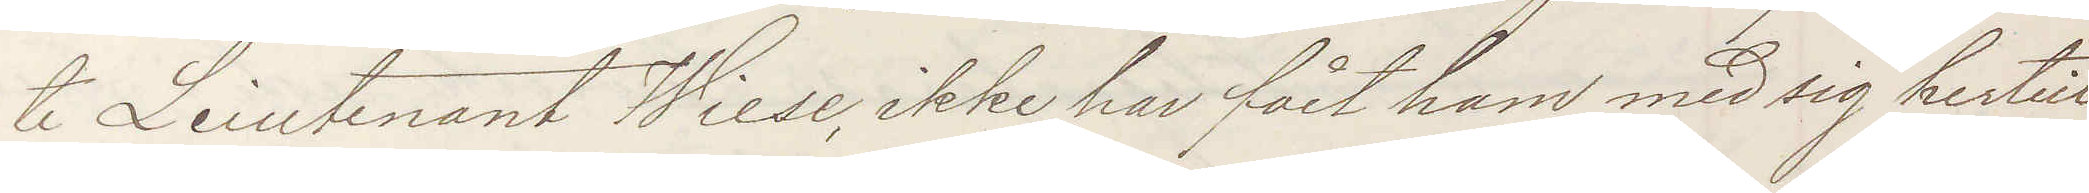te Leiutenant Wiese, ikke har fået ham med sig hertil,
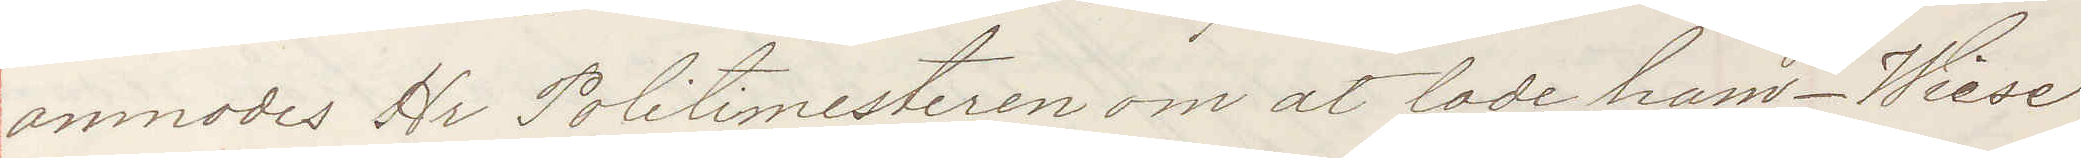anmodas Hr Politimesteren om at lade ham - Wiese
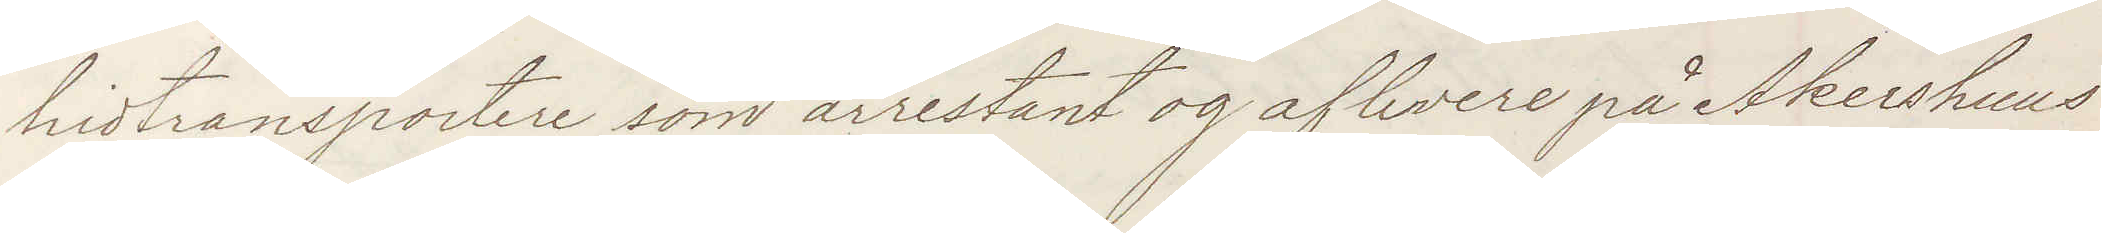hidtransportere som arrestant og aflevere på Akershus
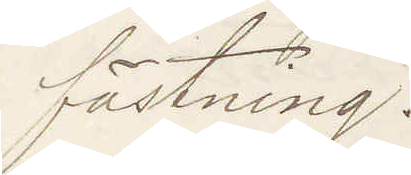fästning!
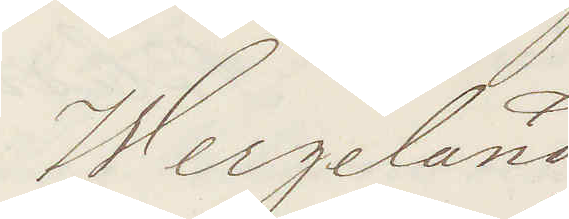Wergeland
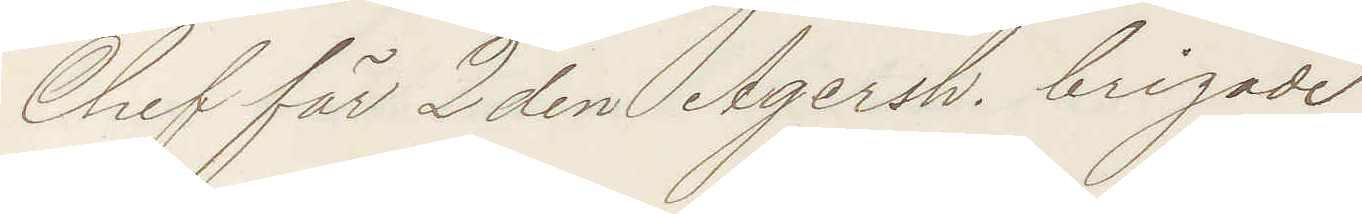Chef för 2 den Agersh brigade
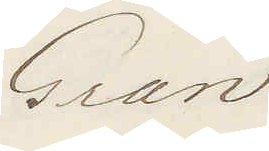Gran
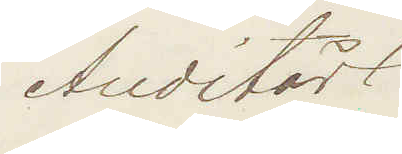Auditör
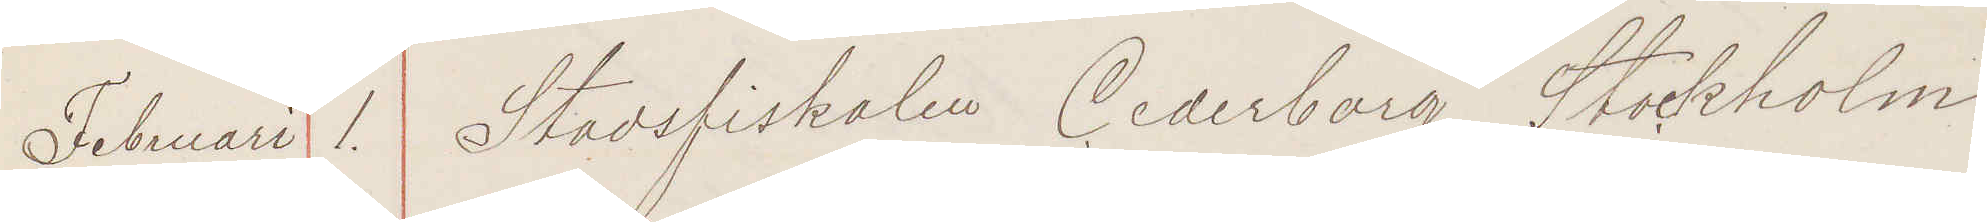Februari 1. Stadsfiskalen Cederborg Stockholm
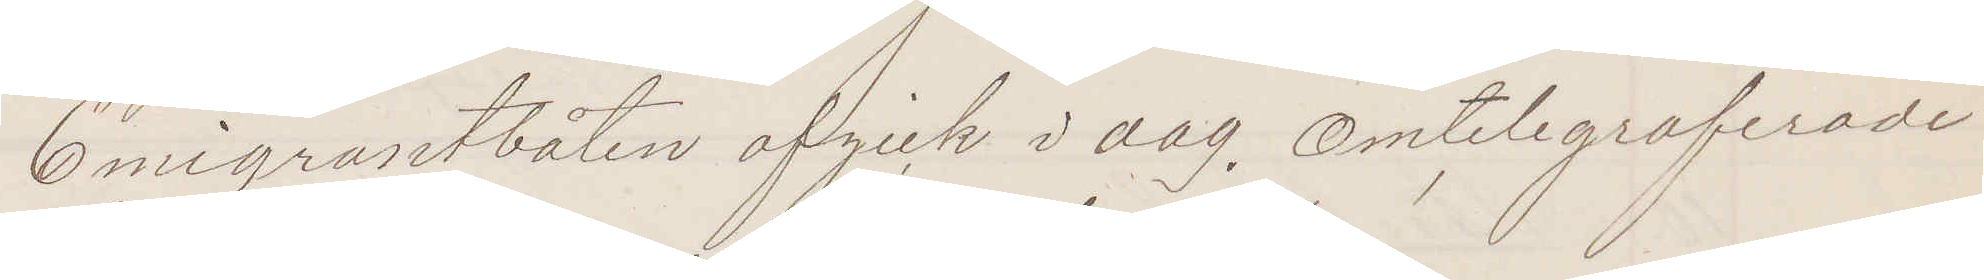Emigrantbåten afgick i dag. Omtelegraferade
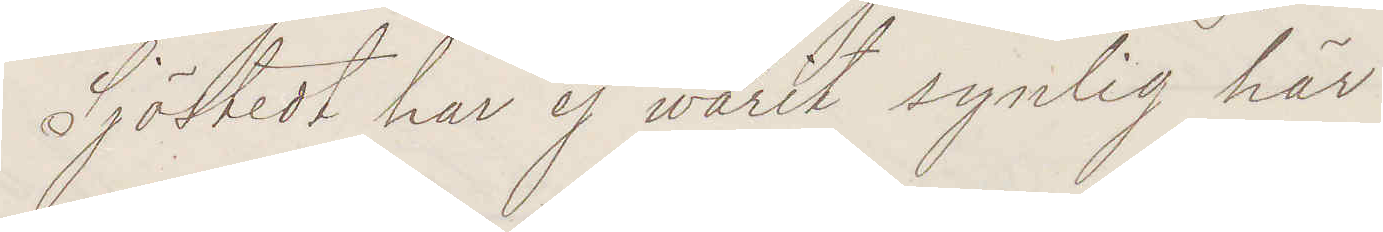Sjöstedt har ej warit synlig här!
